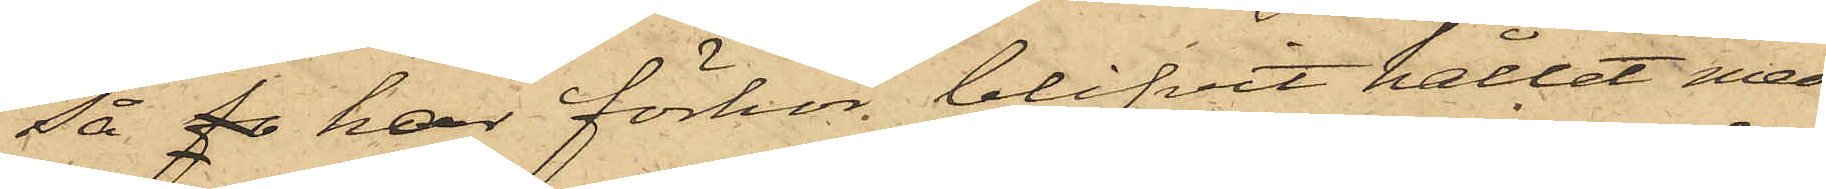så fo har förhör blifvit hållet med
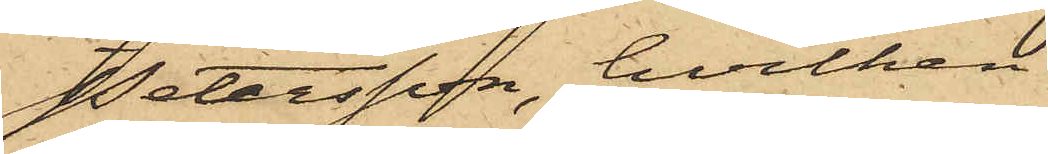Petersson, hvilken
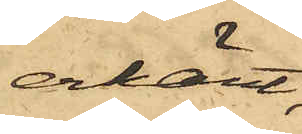erkänt,
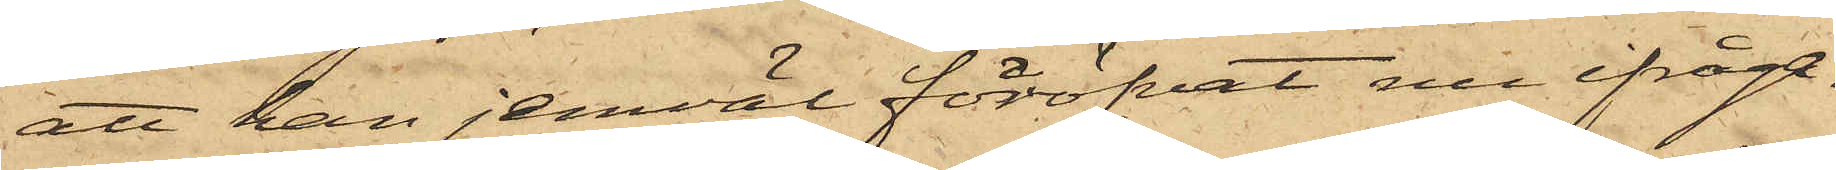att han jemväl föröfvat nu ifråga¬
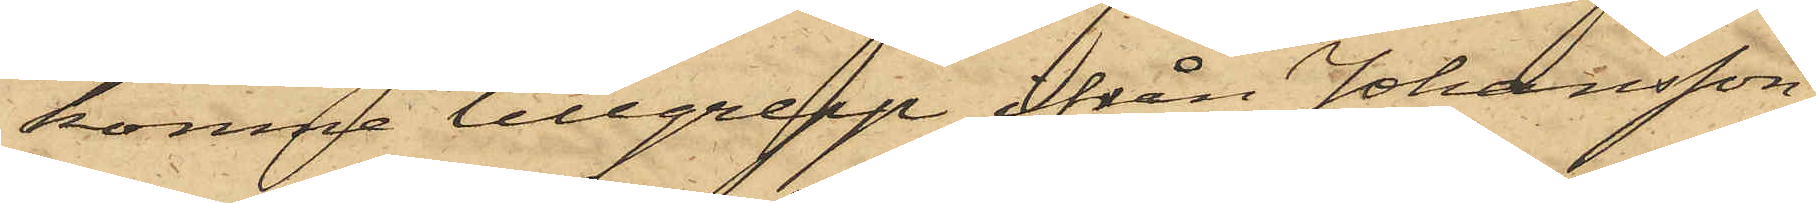komne tillgrepp ifrån Johansson,
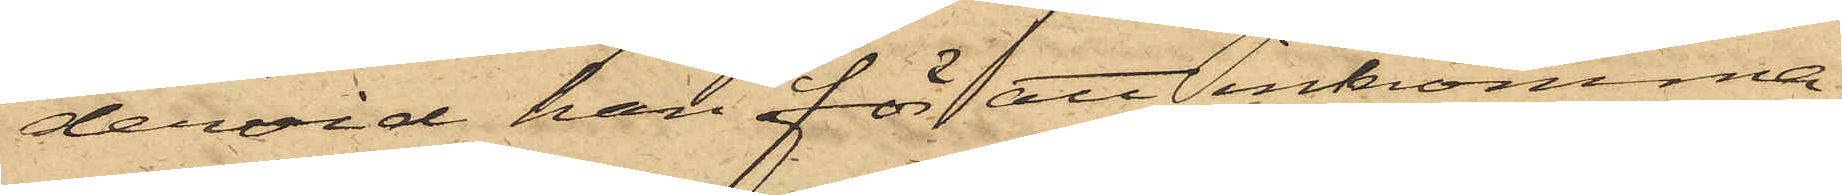dervid han för att inkomma
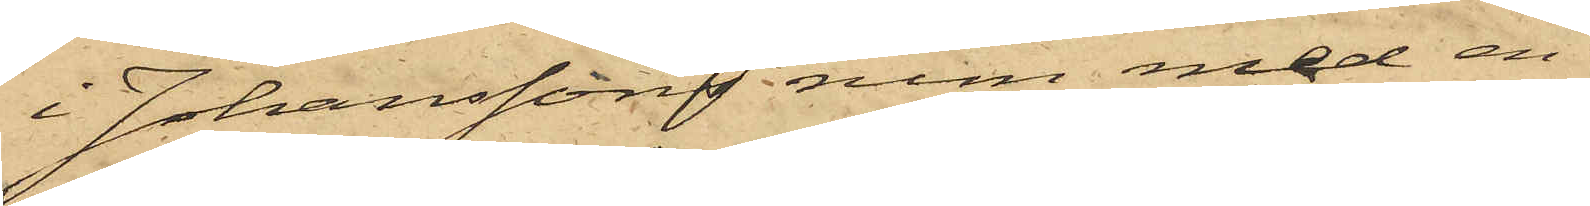i Johanssons rum med en
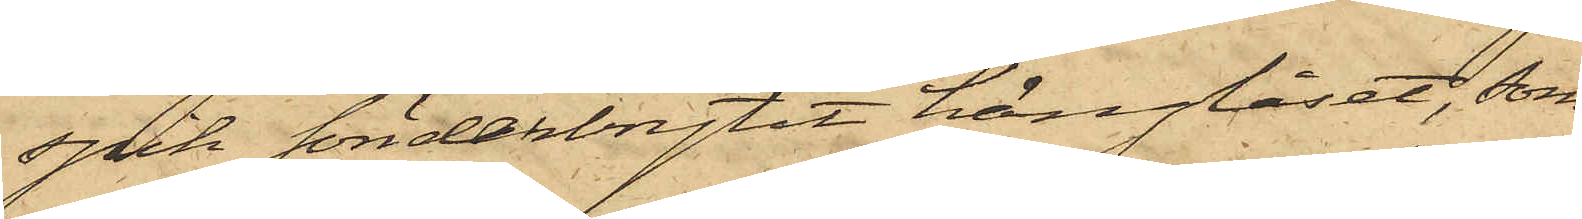spik sönderbrytit hänglåset, som
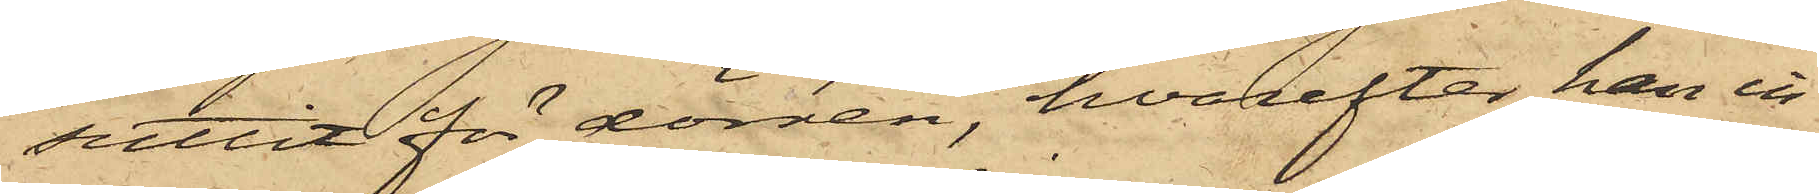suttit för dörren, hvarefter han in¬
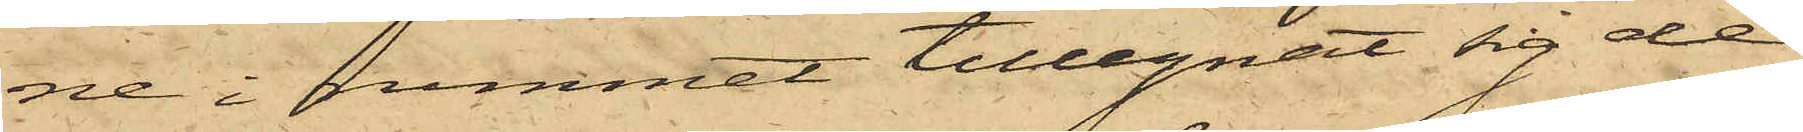ne i rummet tillegnat sig de
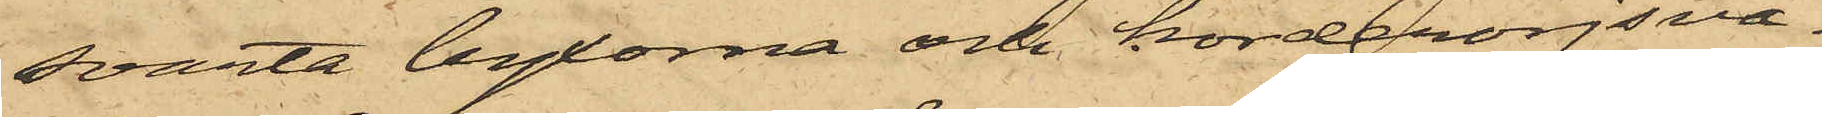svarta byxorna och korderojsvä¬
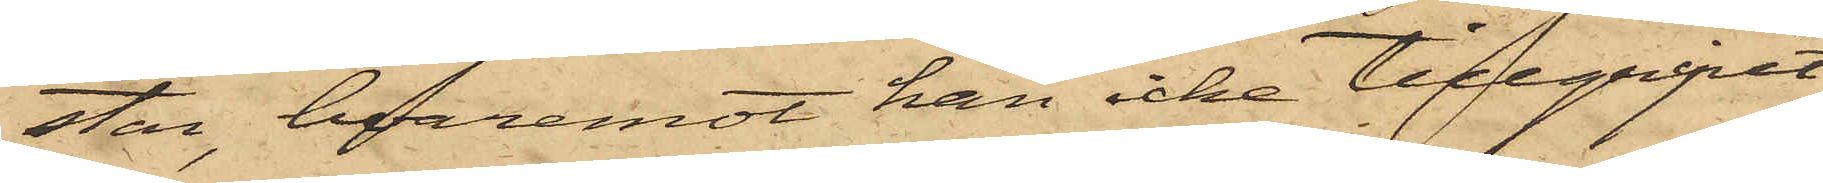star, hvaremot han icke tillgripit
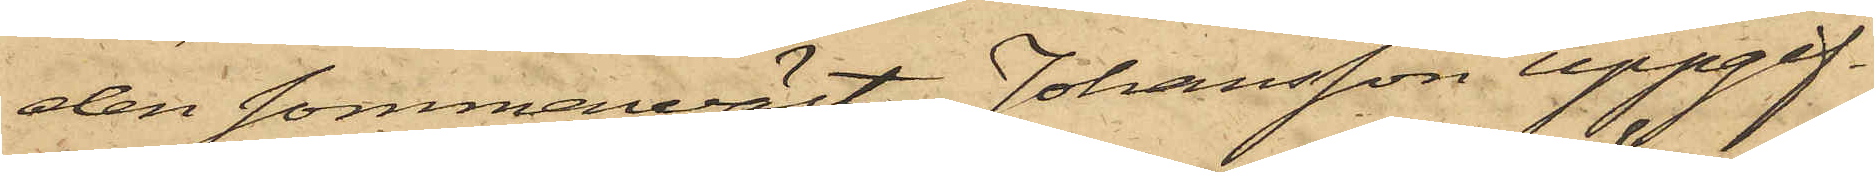den sommarväst, Johansson uppgif¬
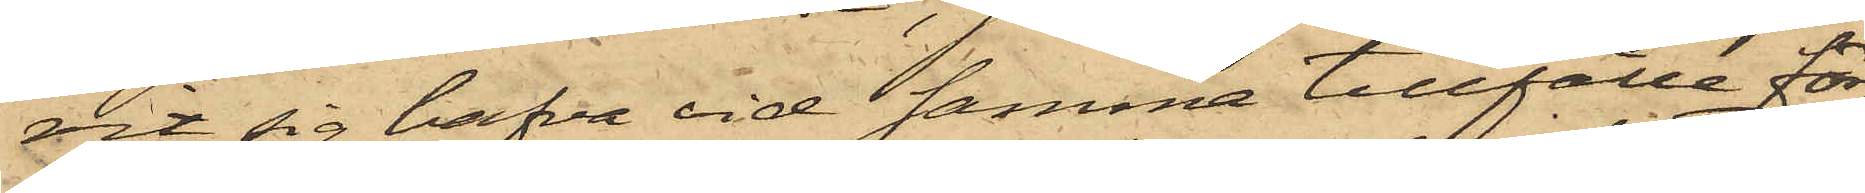vit sig hafva vid samma tillfälle för¬
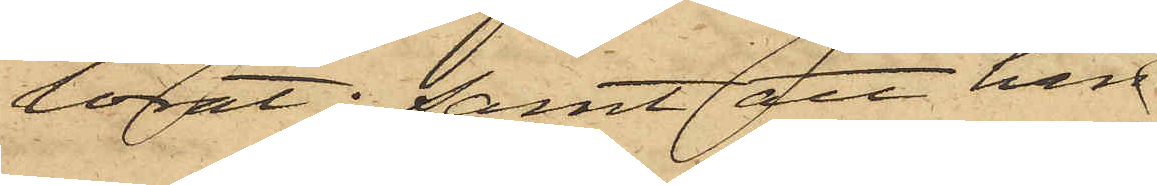lorat; samt att han
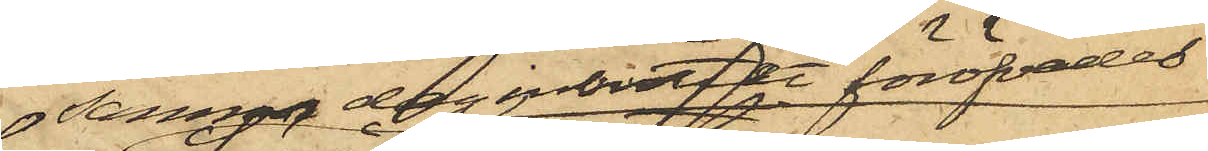samma dag inbrottet föröfvades
